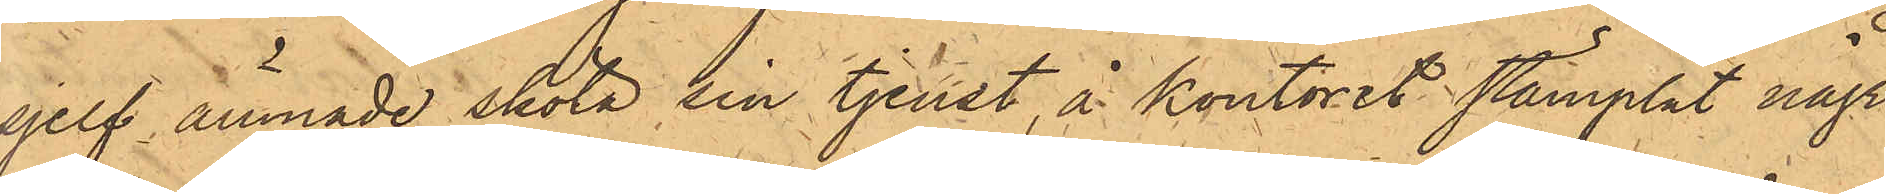sjelf ämnade sköta sin tjenst, å kontoret stämplat några
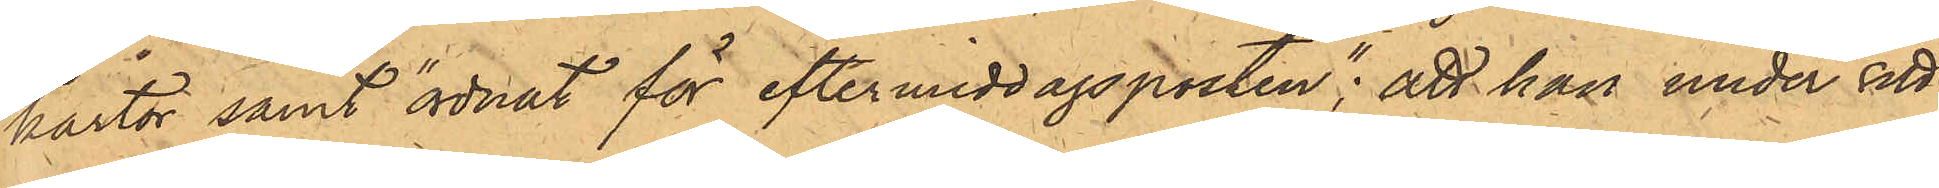kartor samt "ordnat för eftermiddagsposten"; att han under sitt
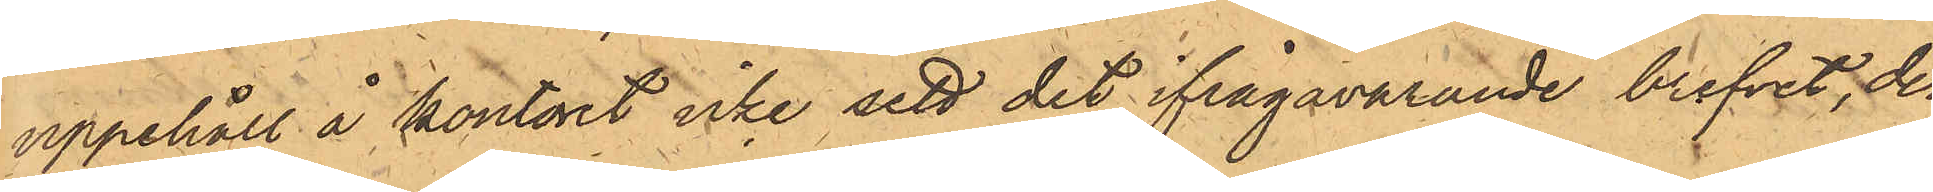uppehåll å kontoret icke sett det ifrågavarande brefvet, der¬
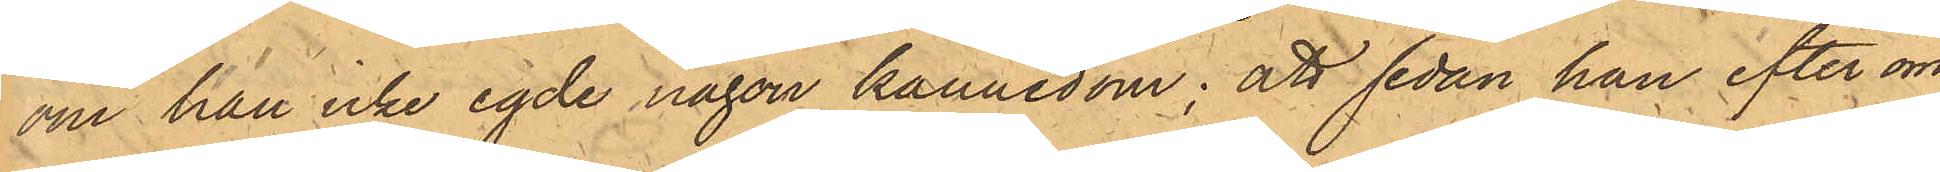om han icke egde någon kännedom; att sedan han efter om¬
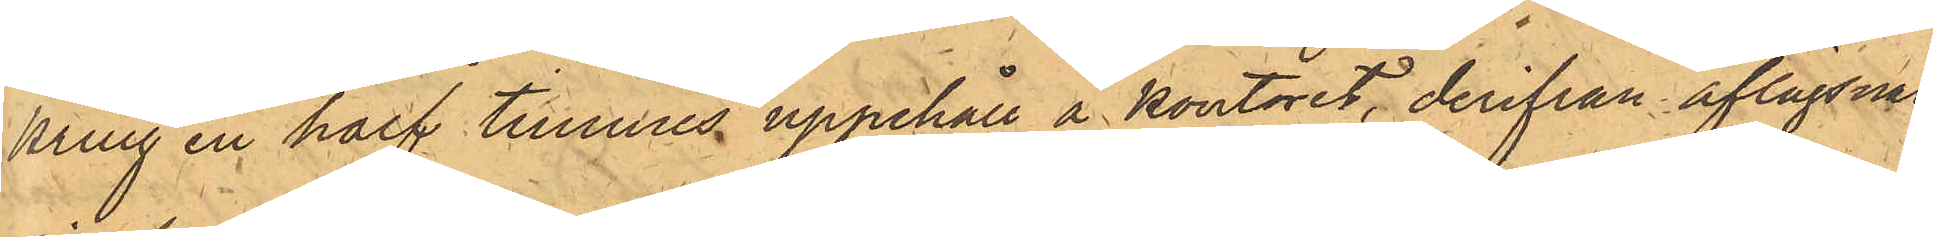kring en half timmes uppehåll å kontoret, derifrån aflägsnat
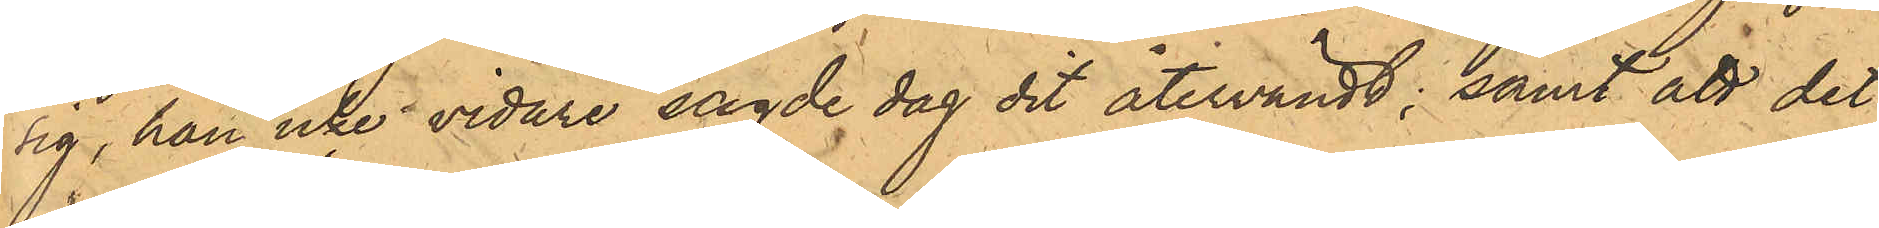sig, han icke vidare sagde dag dit återvändt; samt att det
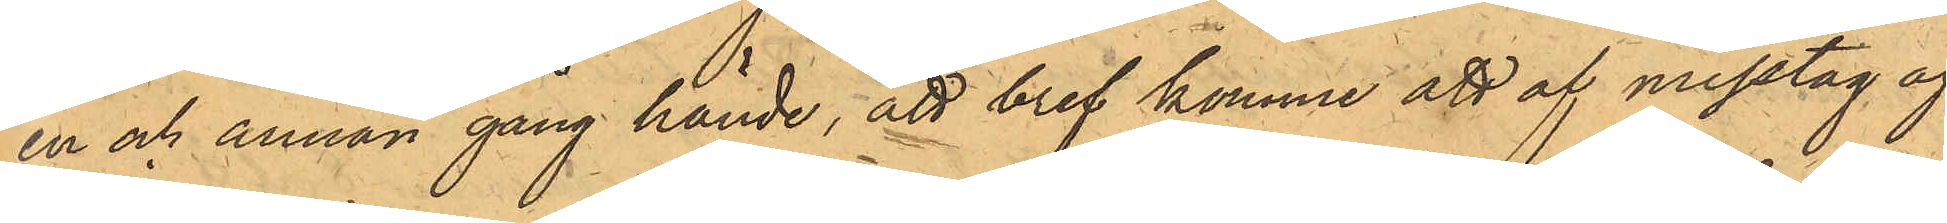en och annan gång hände; att bref komme att af misstag af¬
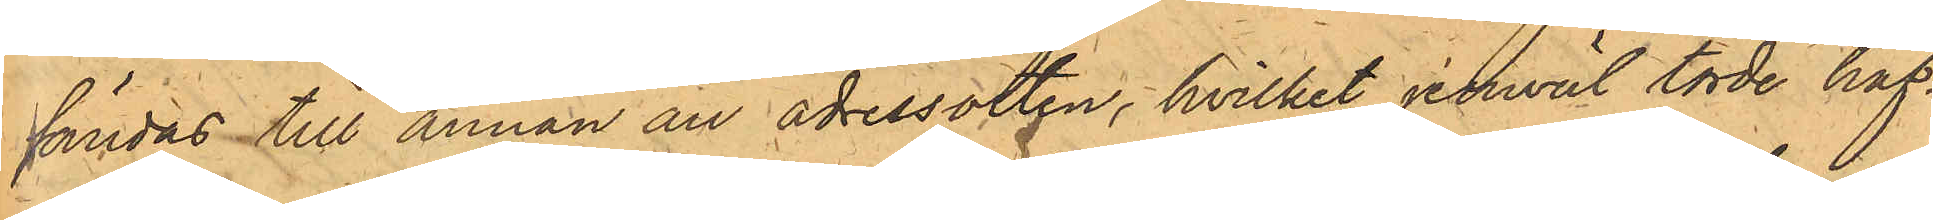sändas till annan än adressorten, hvilket jemväl torde haf¬
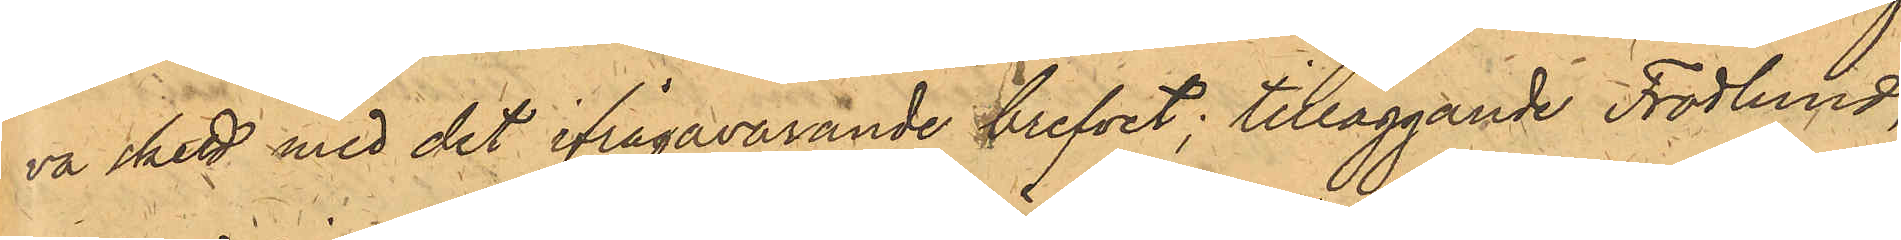va skett med det ifrågavarande brefvet; tilläggande Frodlund,
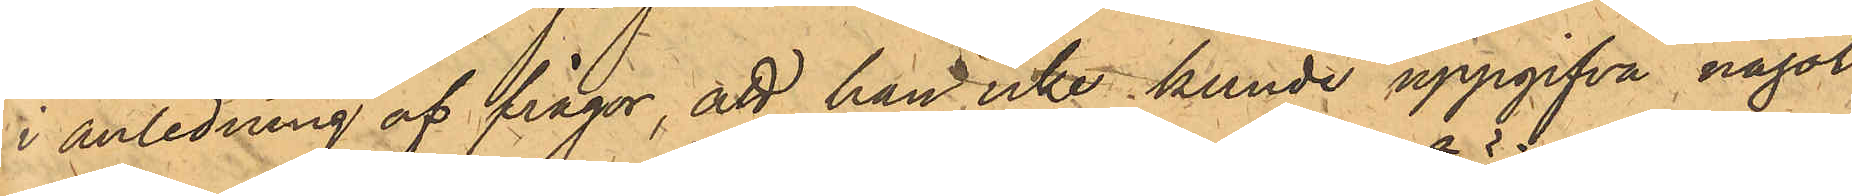i anledning af frågor, att han icke kunde uppgifva något
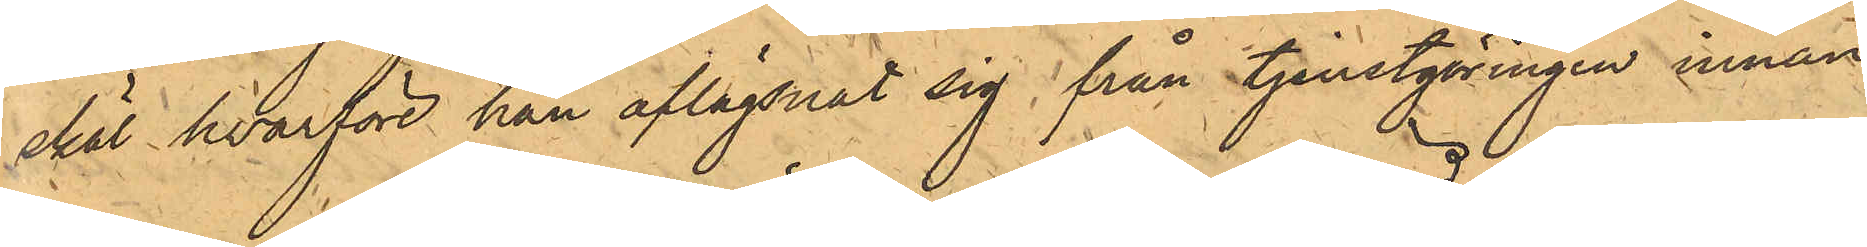skäl, hvarföre han aflägsnat sig från tjenstgöringen innan
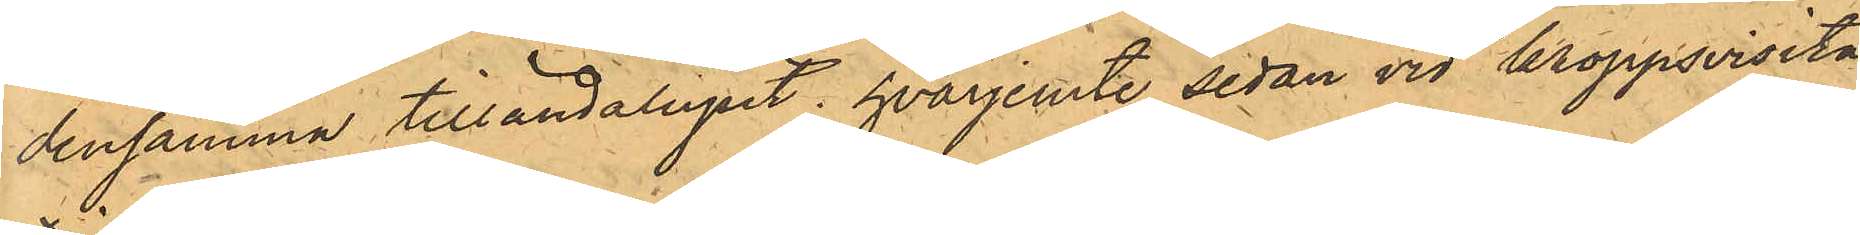densamma tilländalupit, hvarjemte sedan vid kroppsvisita¬
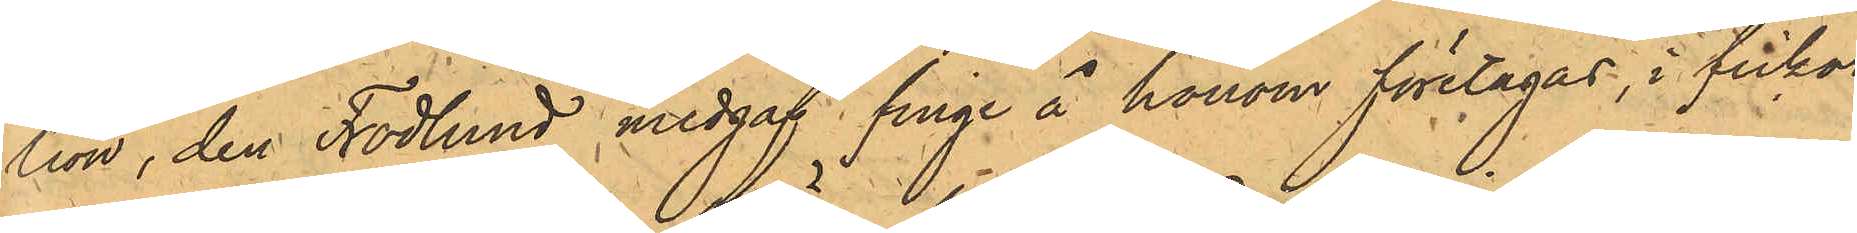tion, den Frödlund medgaf finge å honom företagas, i fickor¬
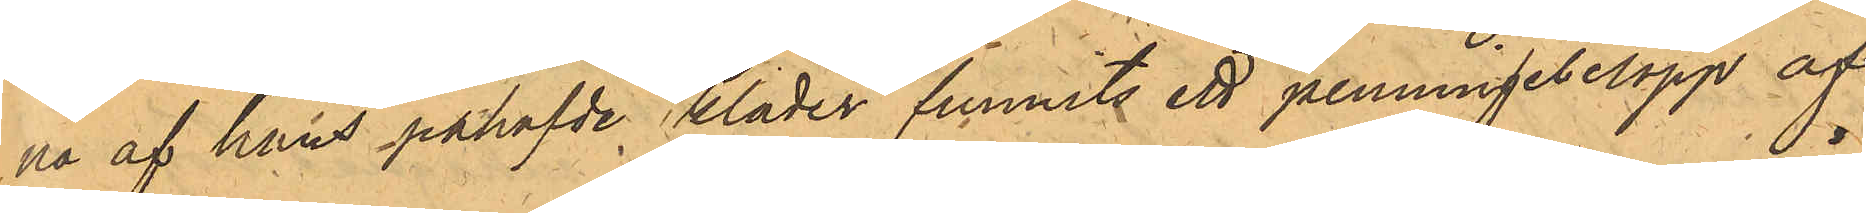na af hans påhafvde kläder funnits ett penningebelopp af
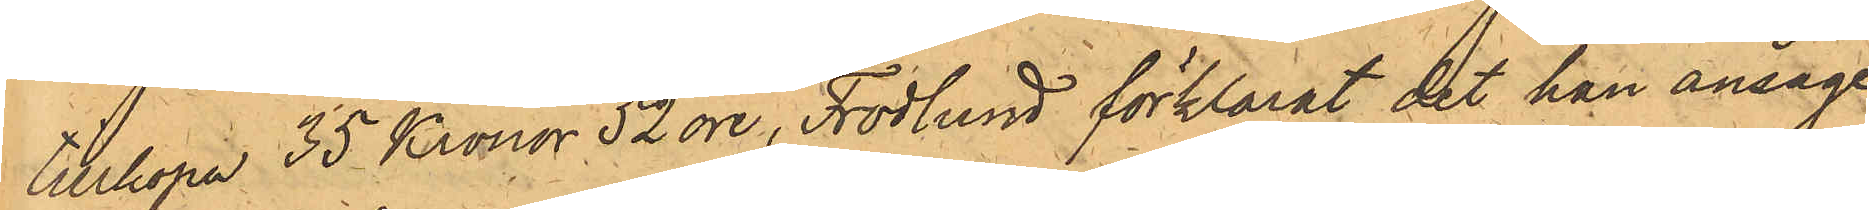tillhopa 35 Kronor 52 öre, Frodlund förklarat det han ansåge
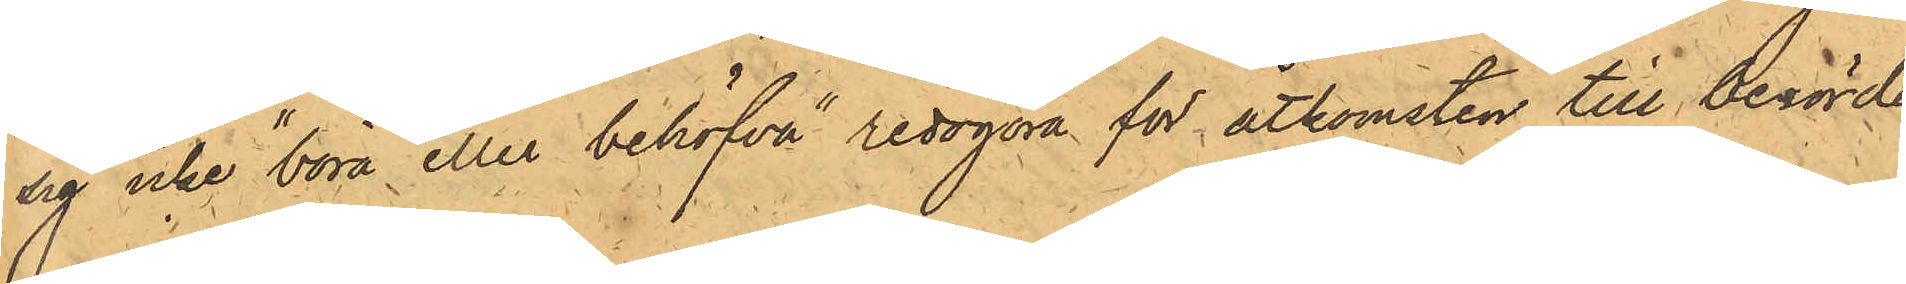sig icke "böra eller behöfva" redogöra för åtkomsten till berörde
